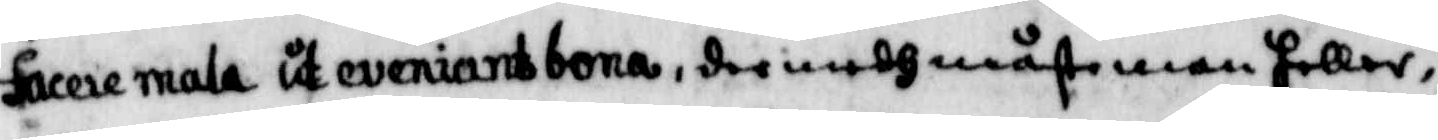facere mala ut eviniants bona, der medh måste man heller
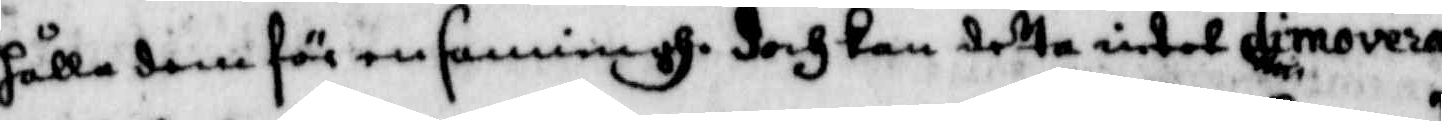hålla dem för en sanningh, doch kan detta intet dimovera
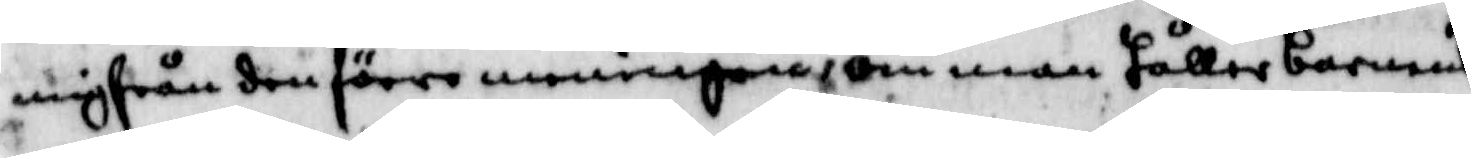mig från den förre meningen, om man håller barnens
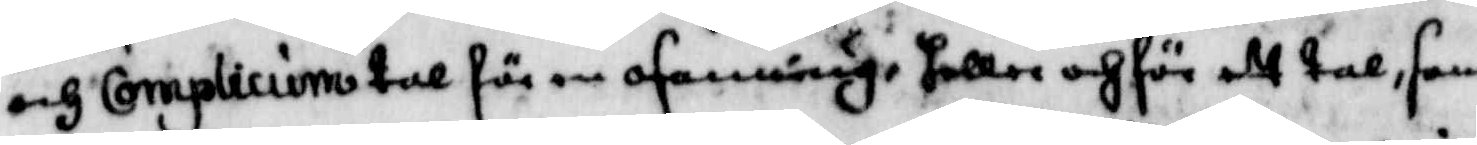och complicium tal för en osanning, heller och för ett tal, som
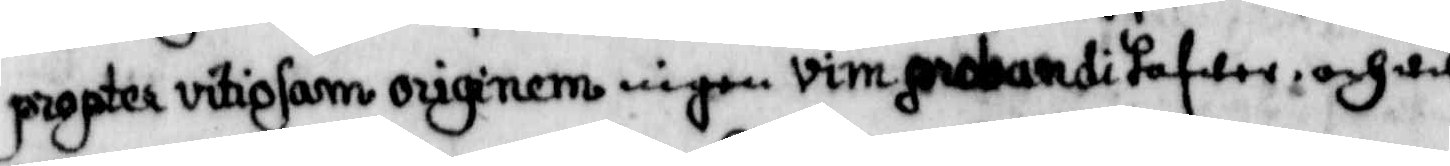propter vitiosam originem ingen vim probandi hafwer, och til
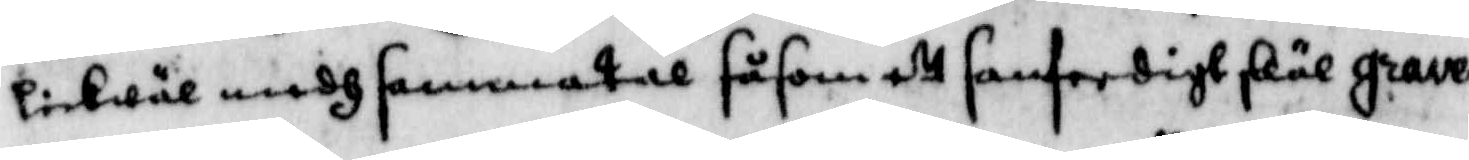likwäl medh sammatal såsom ett sanferdigt själ grave¬
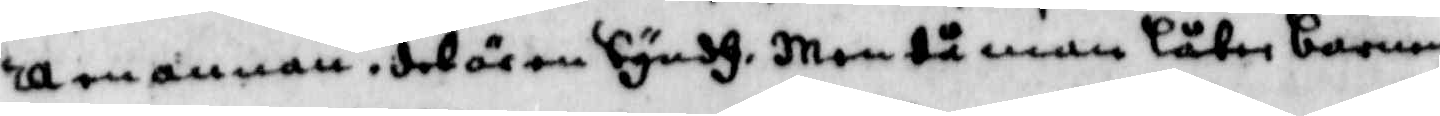ra en annan, det är en Syndh, men då man låter barnen
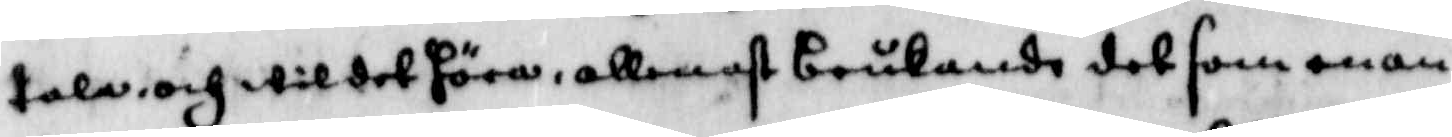tala och wil det höra, allenast brukande det som man
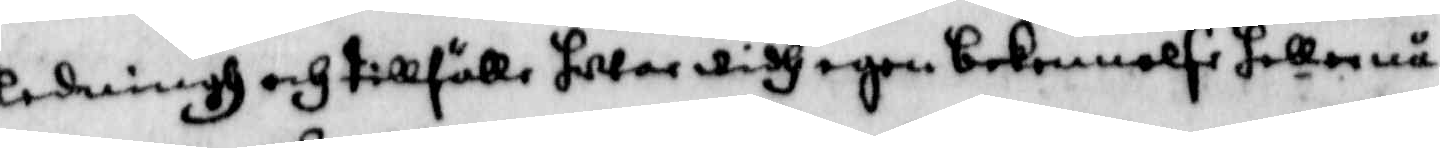ledningh och tillfälle, hwar widh egen bekennelse heller nå¬
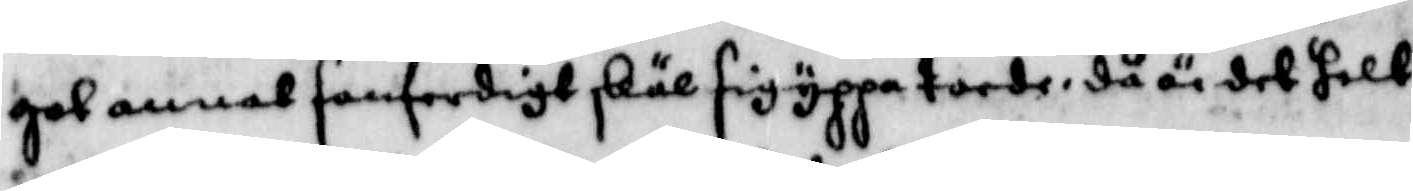got annat sanferdigt skäl sig yppa torde, då är det helt
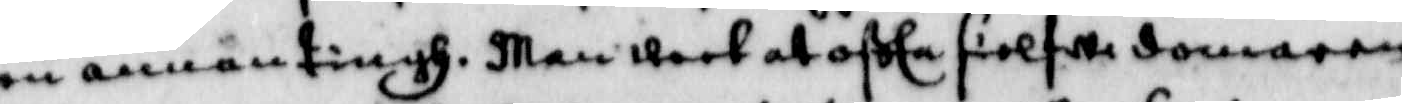en annan tingh, men weet at ofta sielfwa domaren
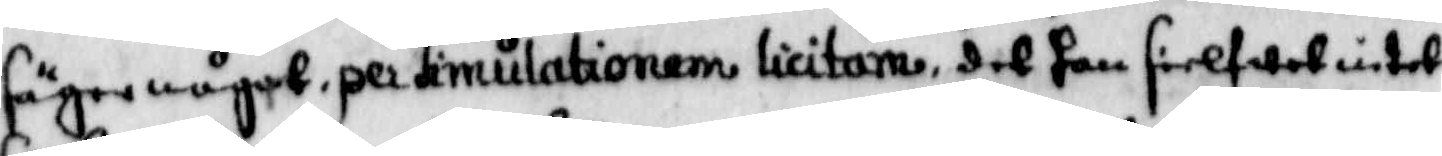säger något, per Simulationem licitara, det han sielfwet intet
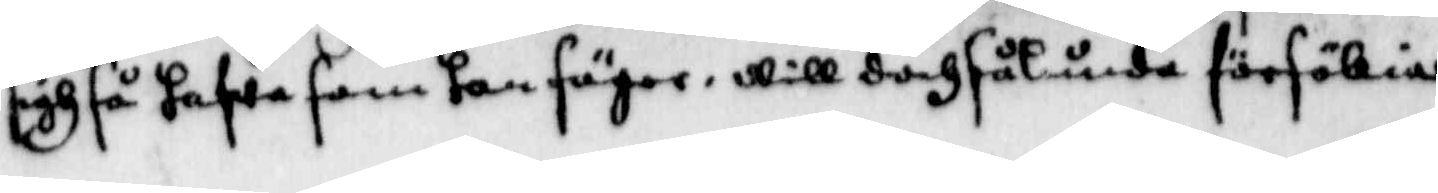sigh så hafwa som han säger, will doch sålunda försökia
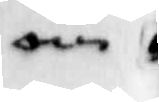om
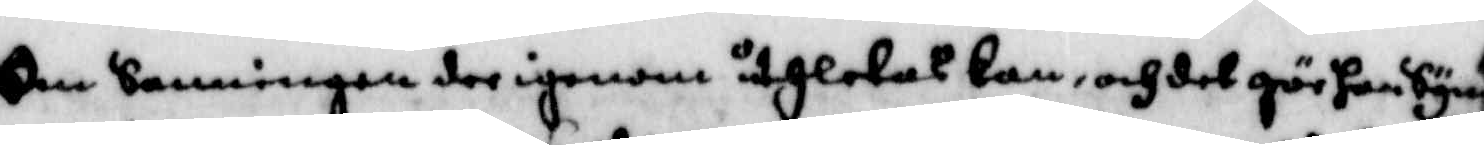om Sanningen der igenom uthletas kan, och det gör han Synd¬
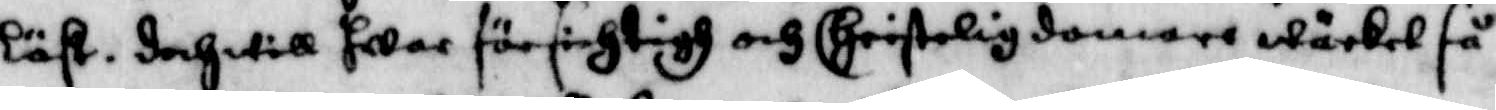löst, doch will hwar försichtigh och Christelig domare wärket så
